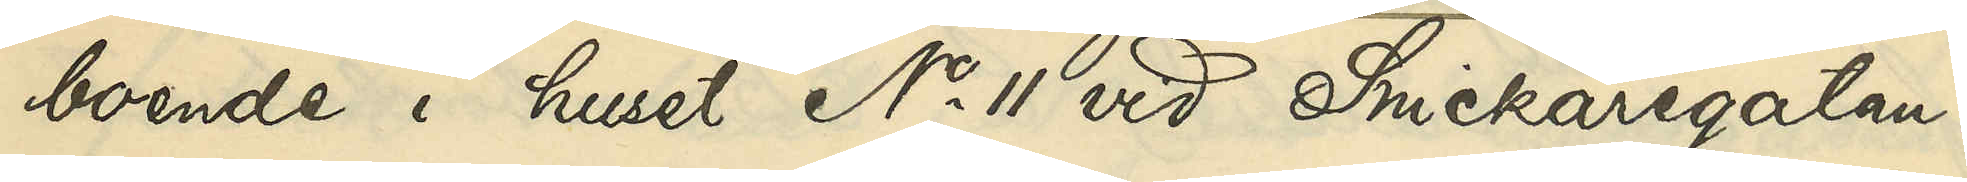boende i huset No 11 vid Snickaregatan:
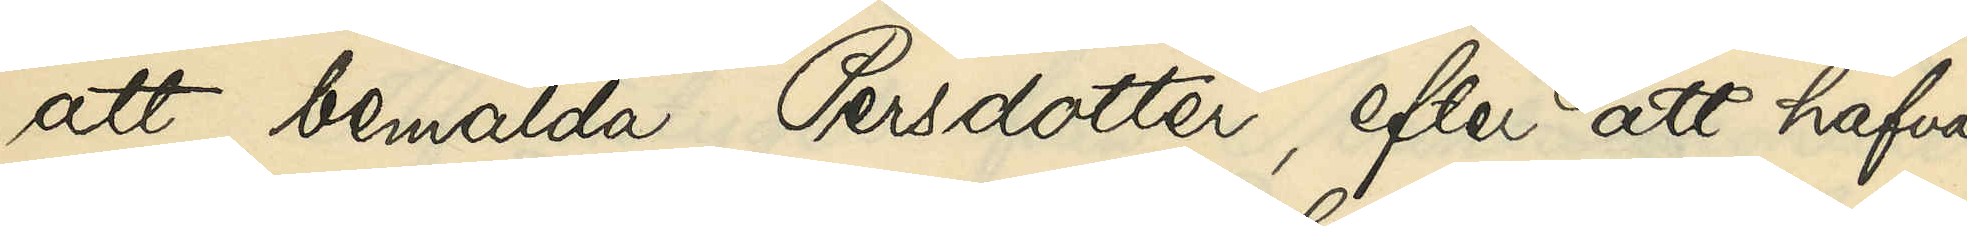att bemälda Persdotter, efter att hafva
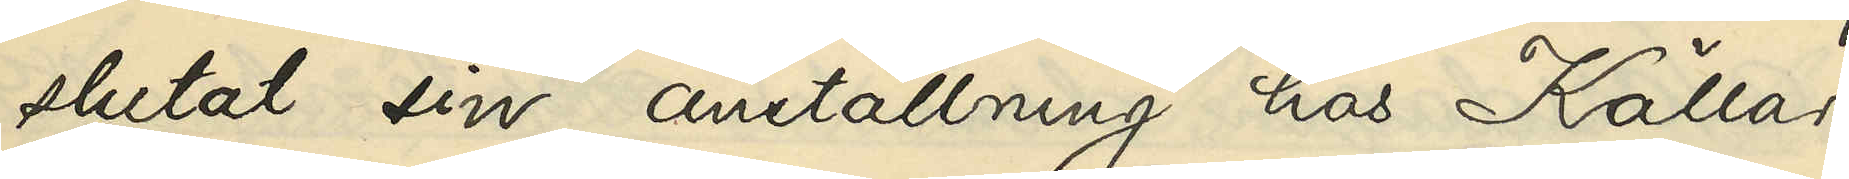slutat sin anställning hos Källare¬
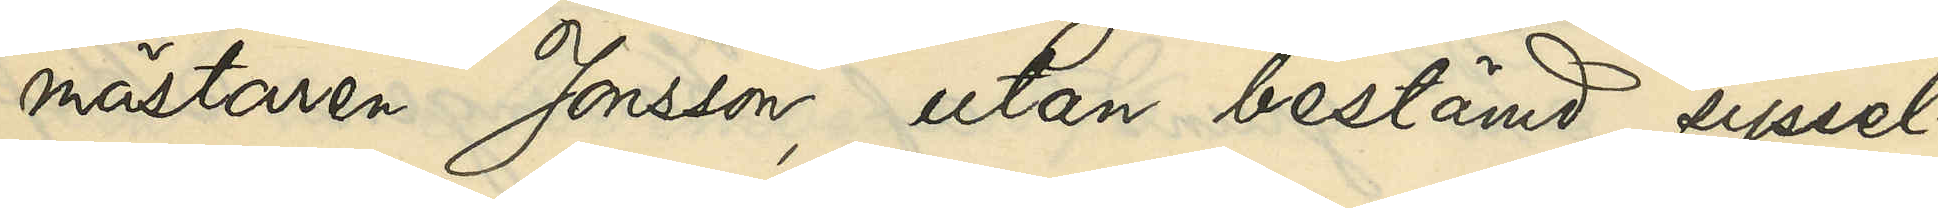mästaren Jonsson, utan bestämd syssel¬
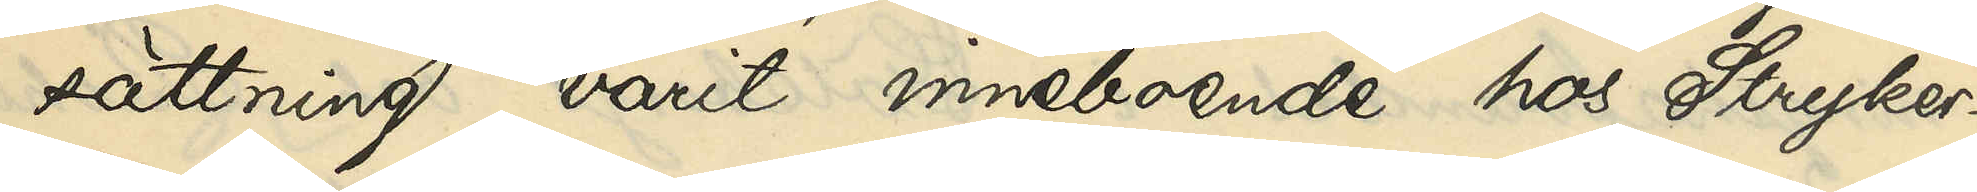sättning varit inneboende hos Stryker¬
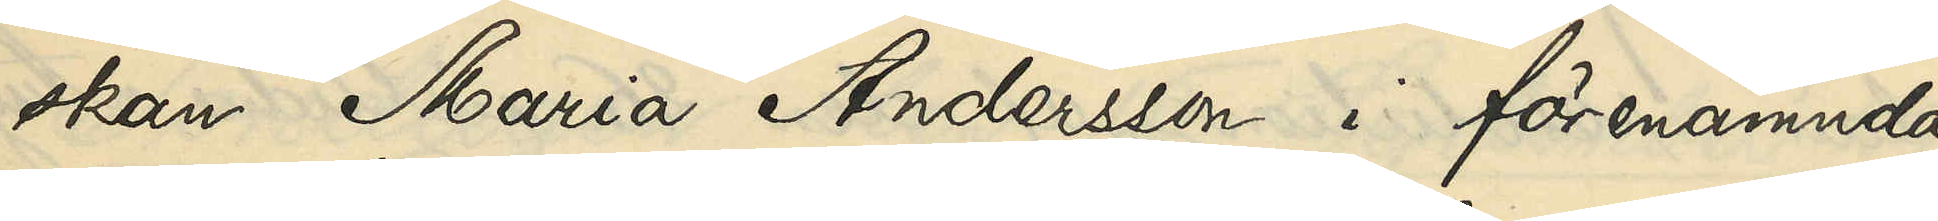skan Maria Andersson i förenämnda
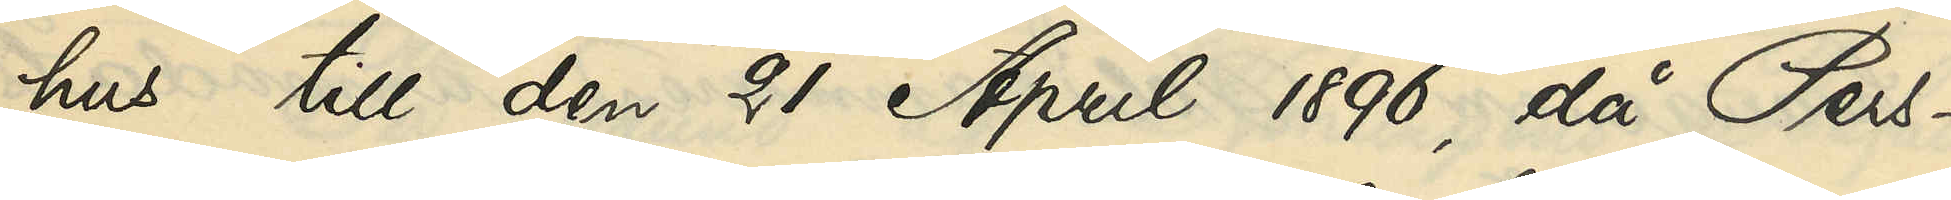hus till den 21 April 1896, då Pers¬
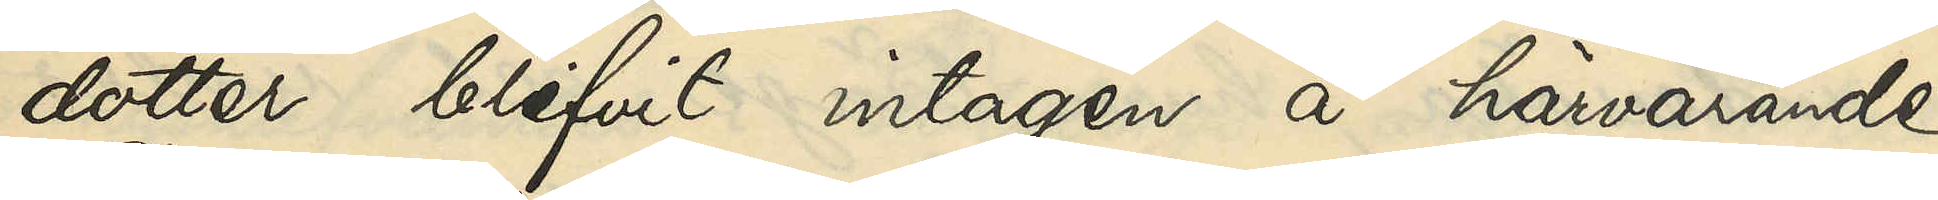dotter blifvit intagen å härvarande
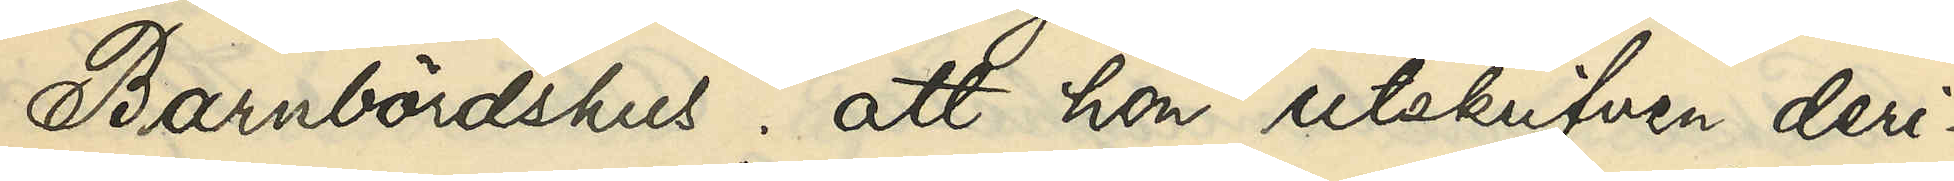Barnbördshus; att hon utskrifven deri¬
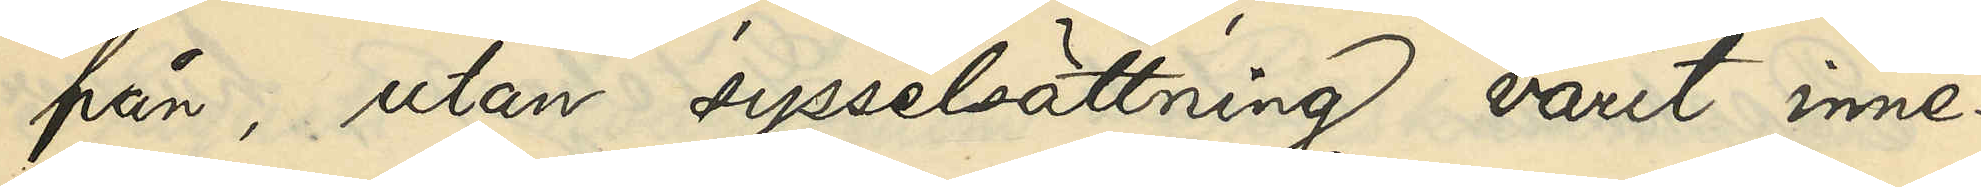från, utan sysselsättning varit inne¬
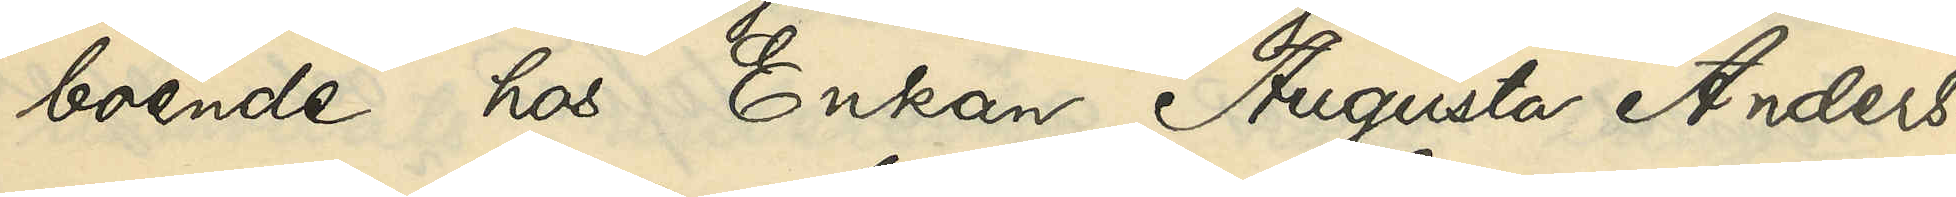boende hos Enkan Augusta Anders¬
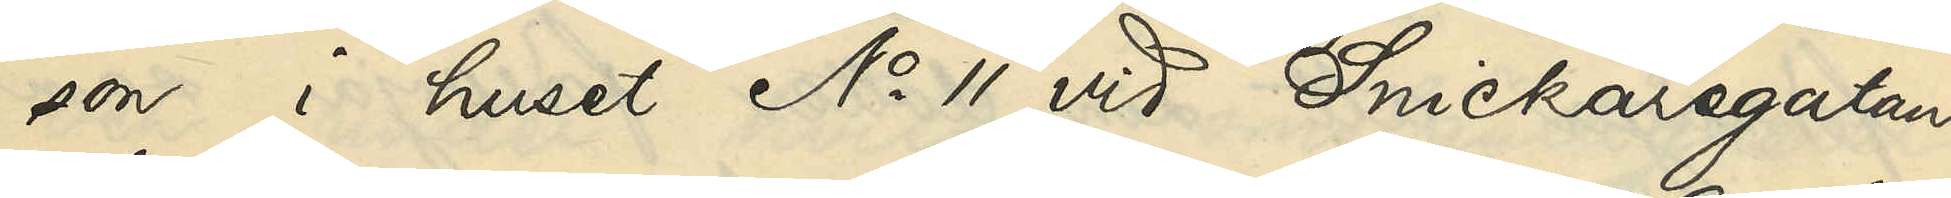son i huset No 11 vid Snickaregatan
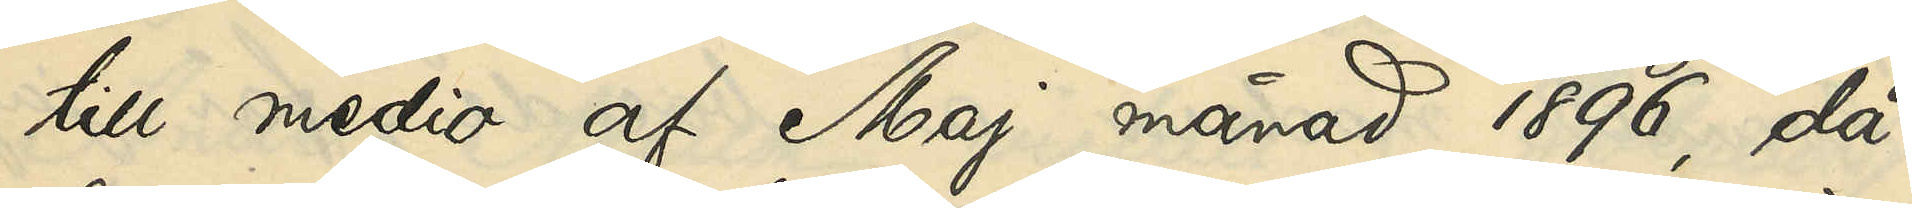till medio af Maj månad 1896, då
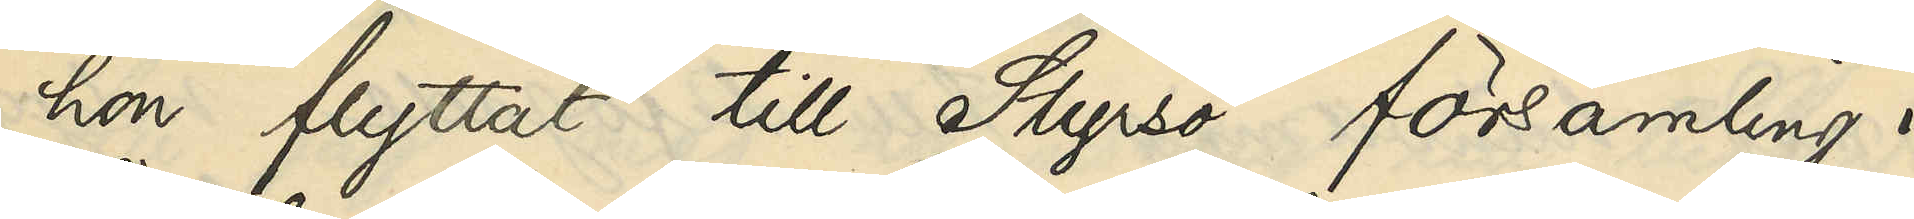hon flyttat till Styrsö församling i
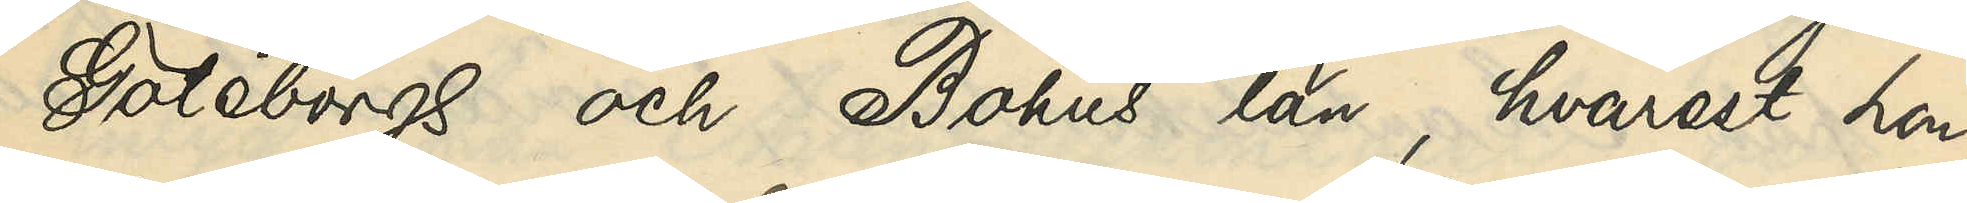Göteborgs och Bohus län, hvarest hon
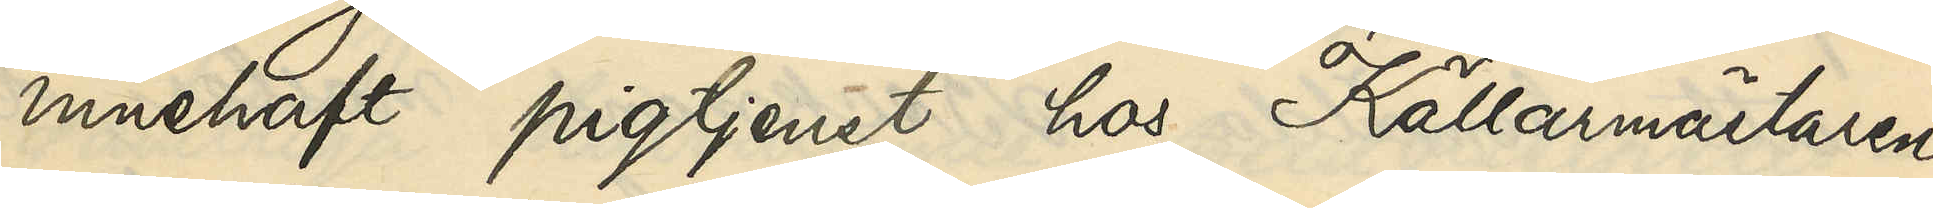innehaft pigtjenst hos Källarmästaren
